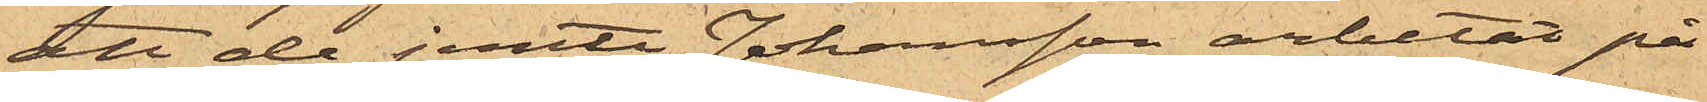att de jemte Johansson arbetat på
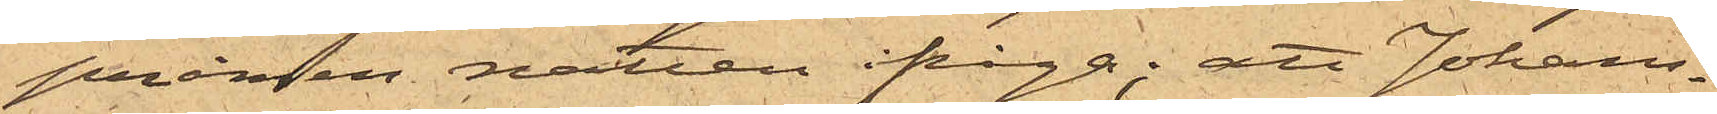pråmen natten ifråga; att Johans¬
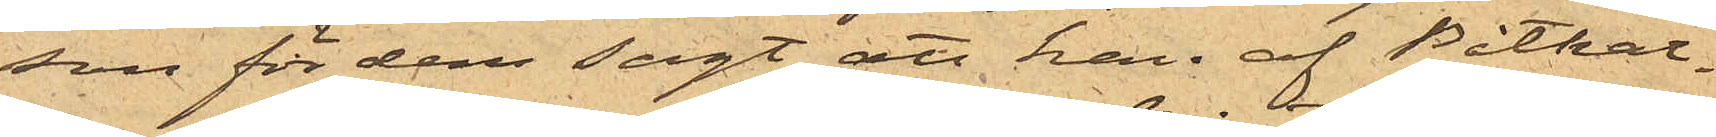son för dem sagt att han af Båtkar¬
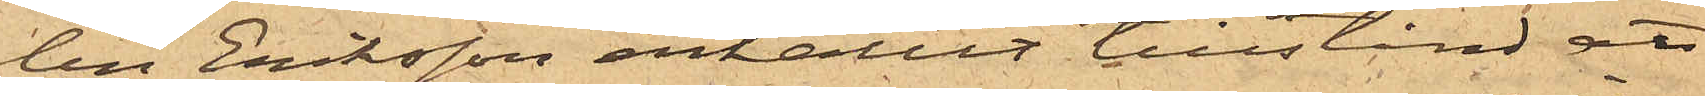len Eriksson erhållit tillstånd att
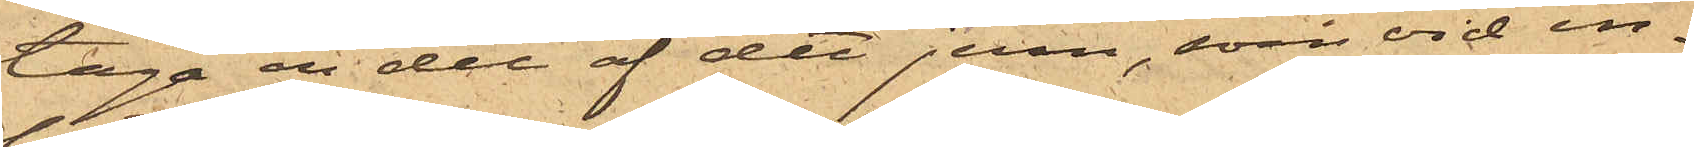taga en del af det jern, som vid in¬
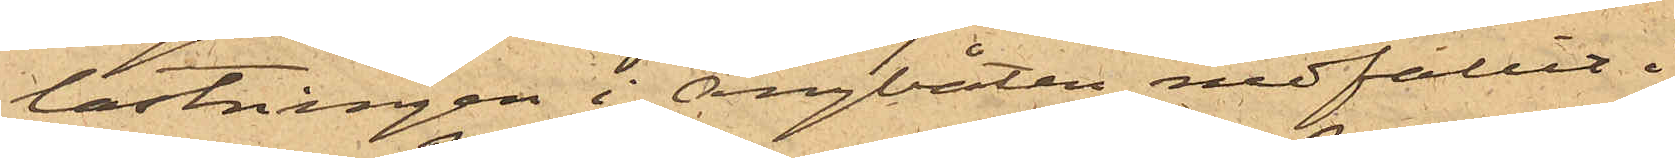lastningen i ångbåten nedfallit i
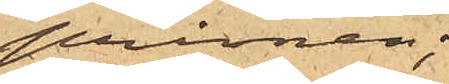pråmen;
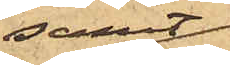samt
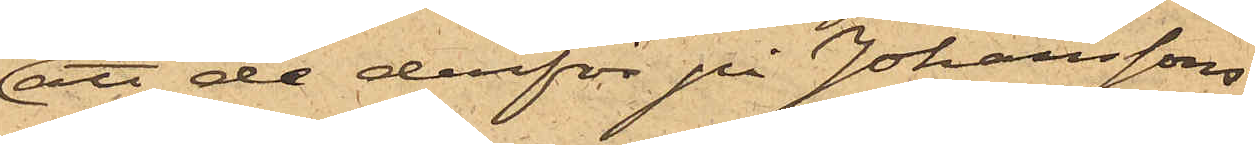att de derför på Johanssons
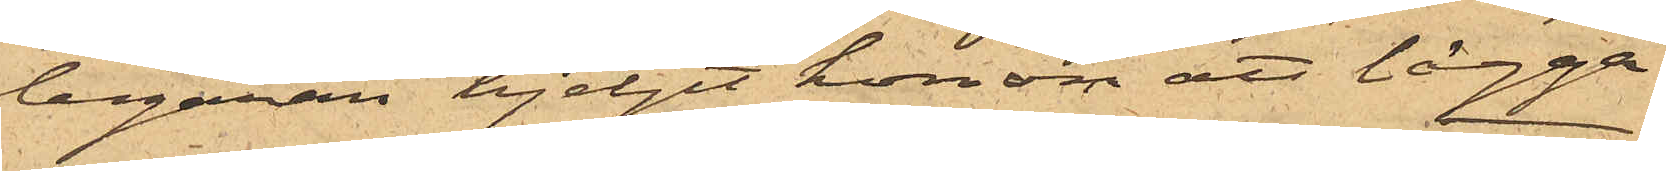begäran hjelpt honom att lägga
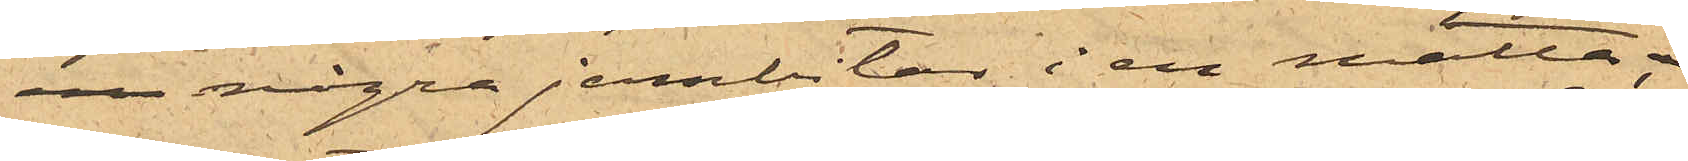 några jernbitar i en matta,
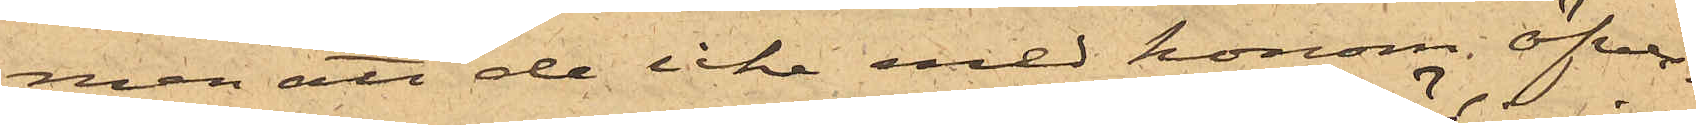men att de icke med honom öfver¬
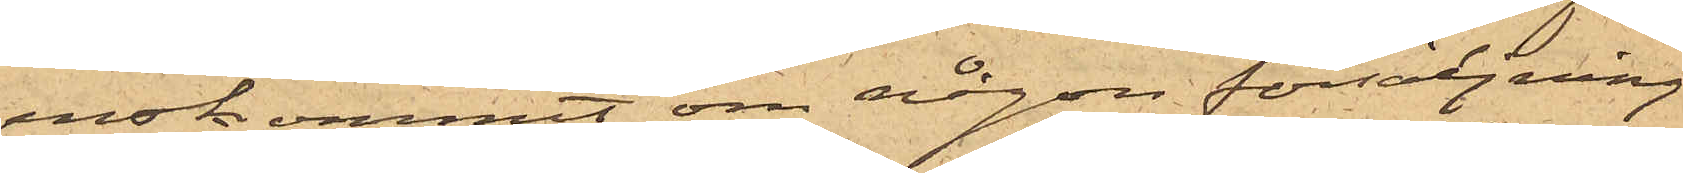enskommit om någon försäljning
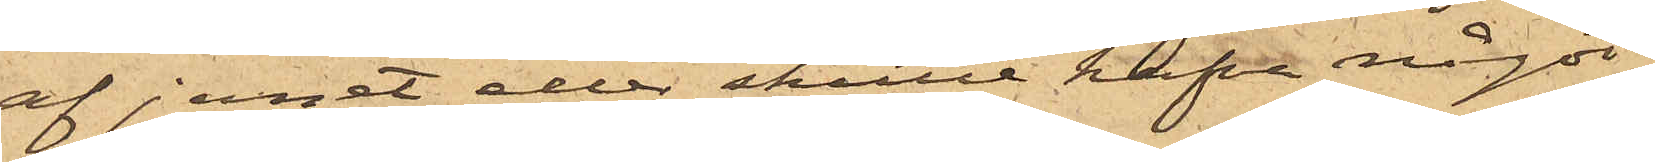af jernet eller skulle hafva något
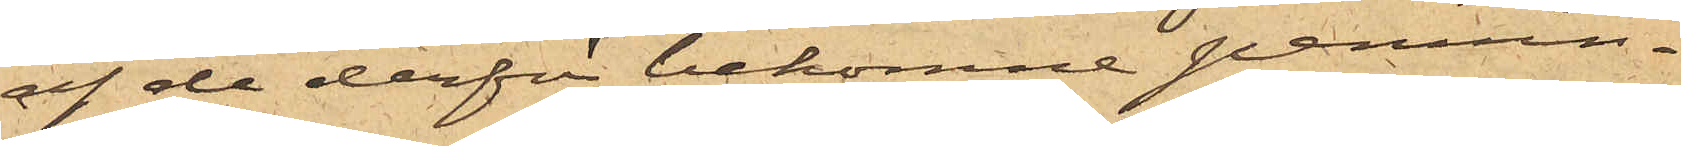af de derför bekomne pennin¬
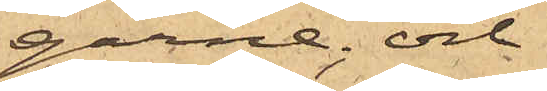garne; och
